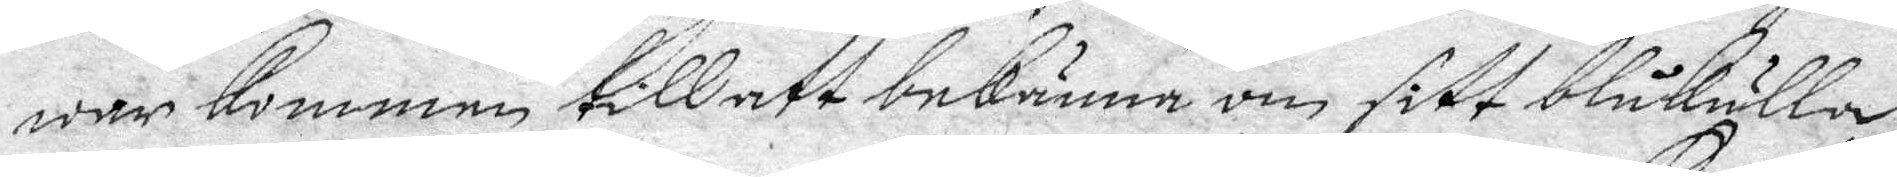war kommen till att bekänna om sitt blåkulla
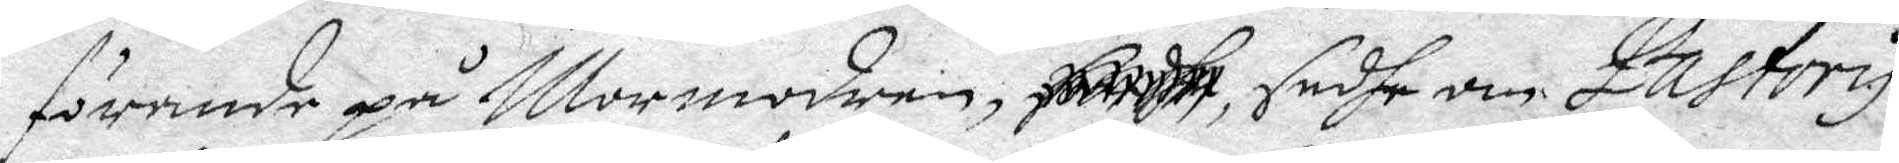förande på Mormodren, ....... sadhe om Pastoris
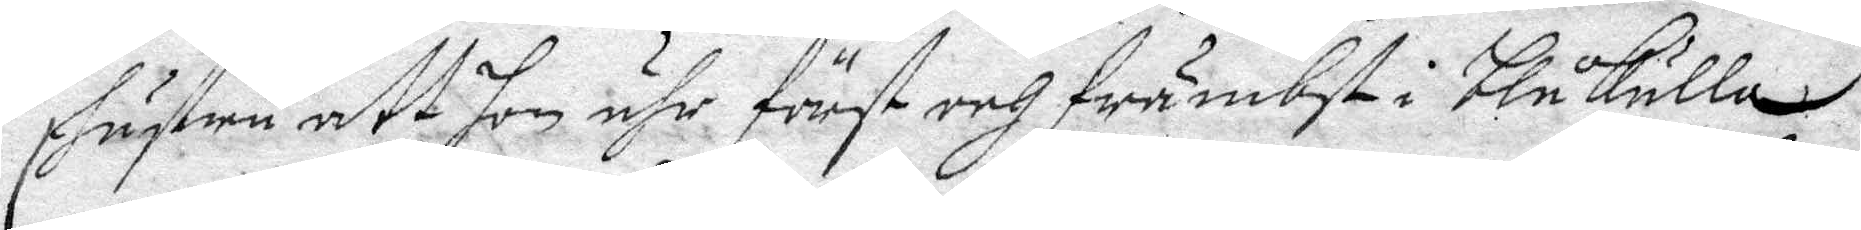Hustru att hon ähr först och främbst i Blåkulla.
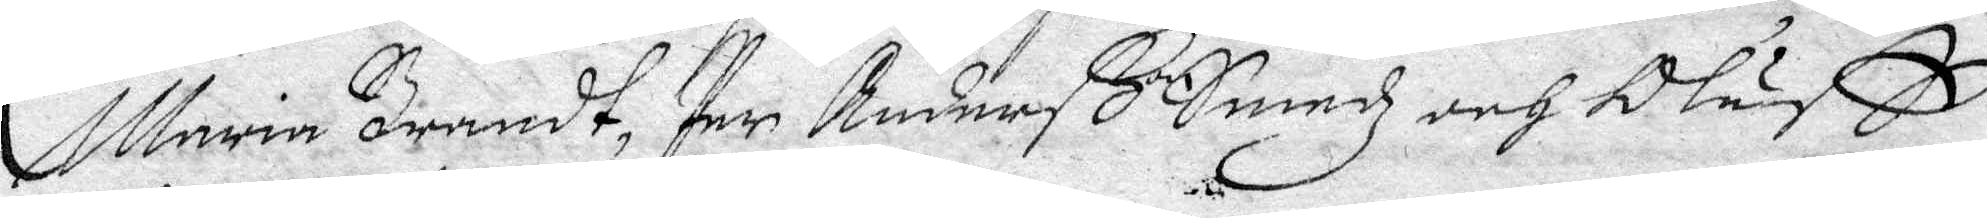Maria Brandt, Per Anderß Smedz och Oluff
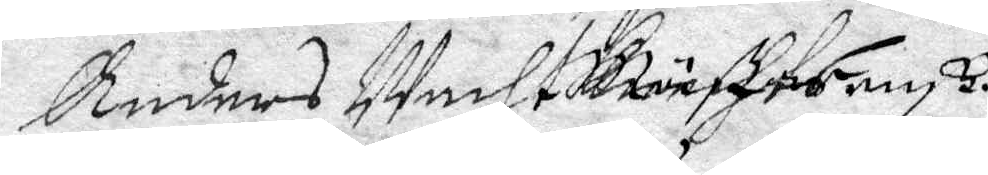Anders Wachmäste...
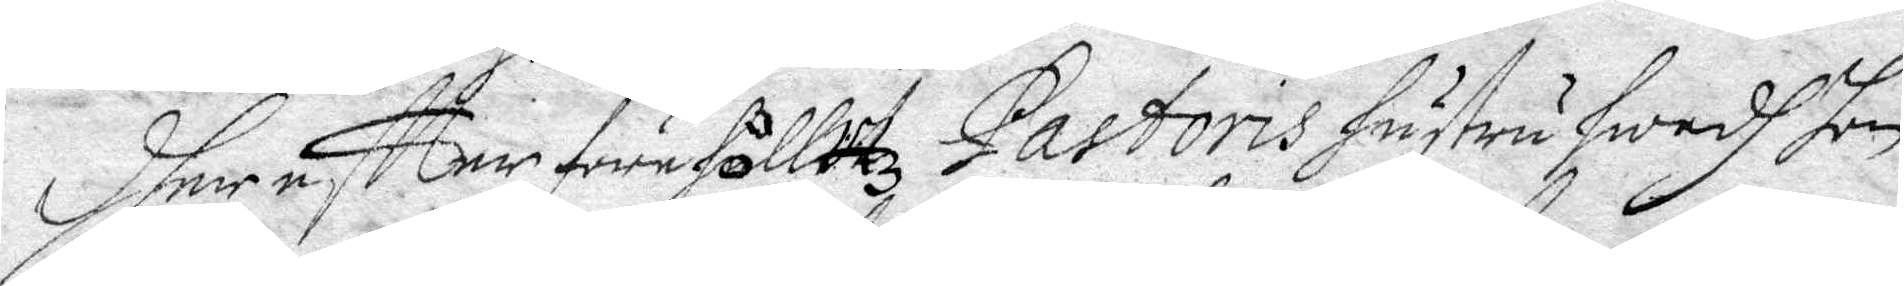Dher eftter förehölltz Pastoris hustru hwadh hon
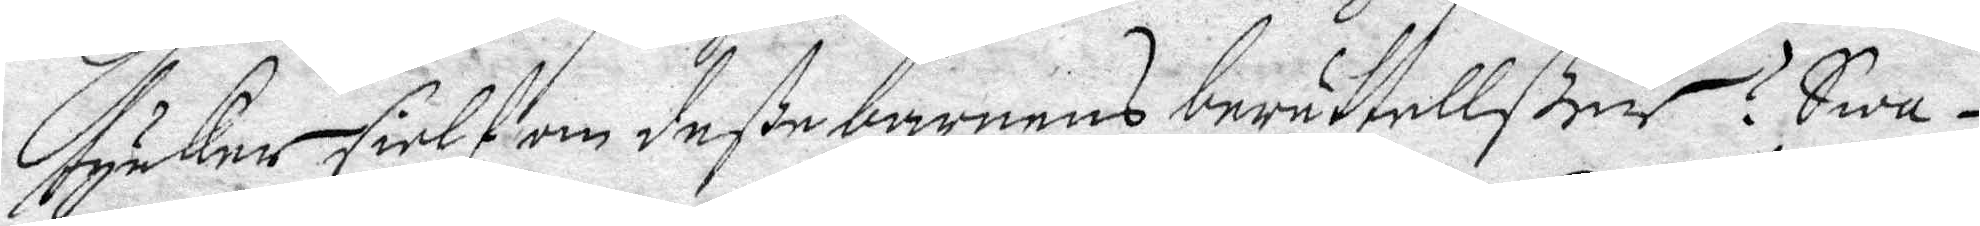tycker sielf om deße barnens berättellßer? Swa¬
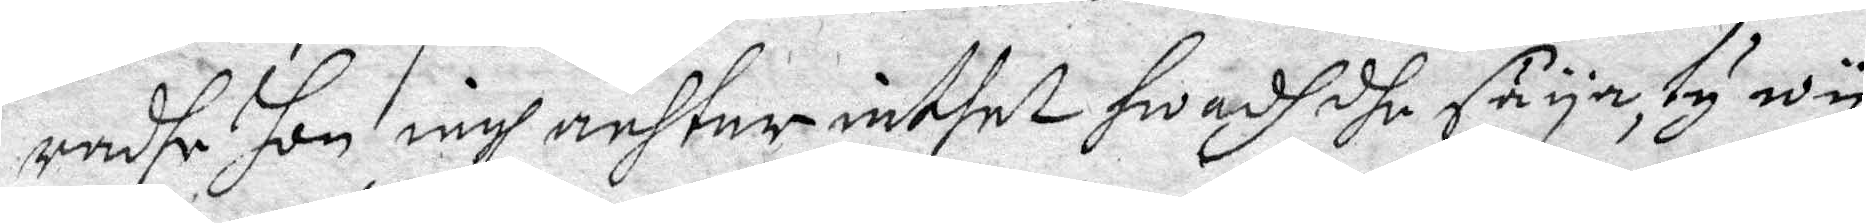adhe hon iagh achtar inthet hwadh dhe säya, ty wy
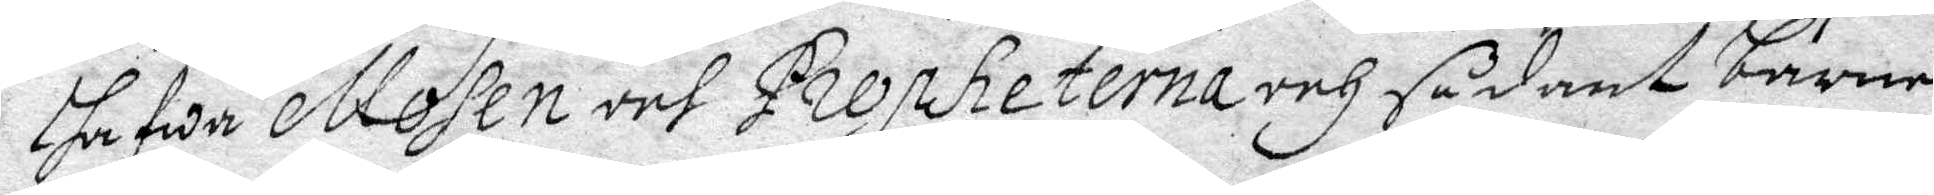hafwa Mosen och Propheterna och sådant barne¬
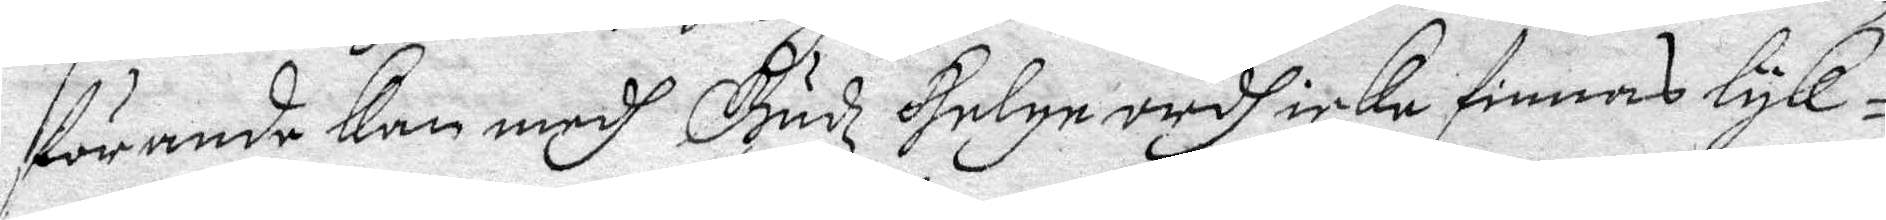förande kan medh Gudz Helge ordh icke finnas lyk¬
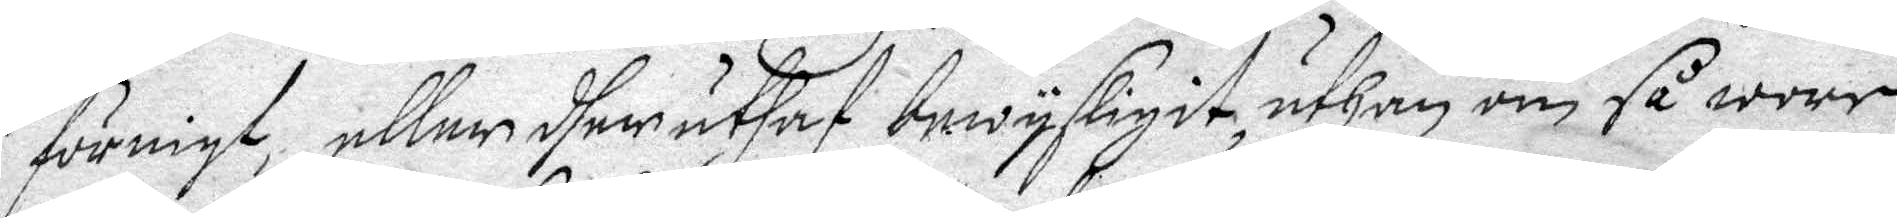förnigt eller dher utsaf bewysligit, uthan om så wore
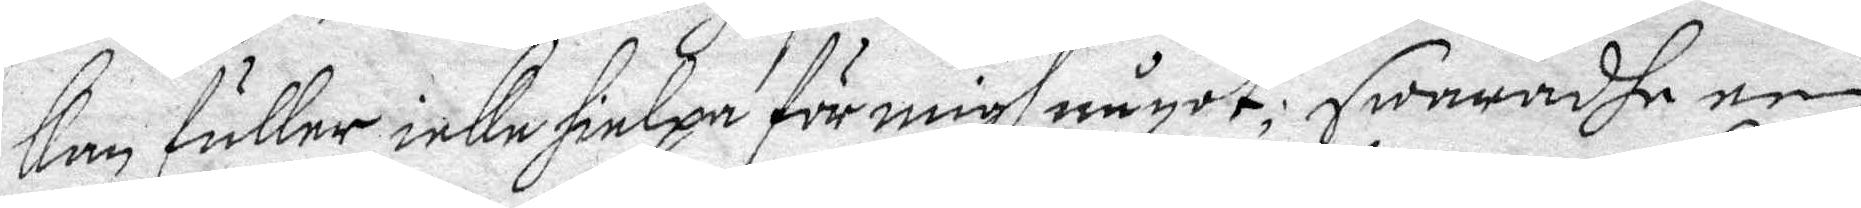kan fuller icke hielpa för migh något; swaradhe een
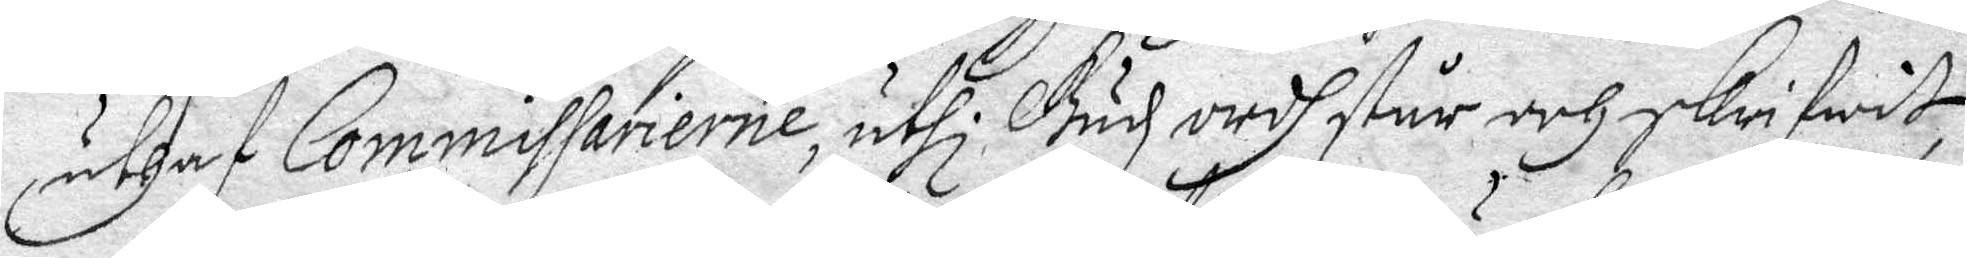uthaf Commissarierne, uthi Gudz ordh står och skrifwit, 
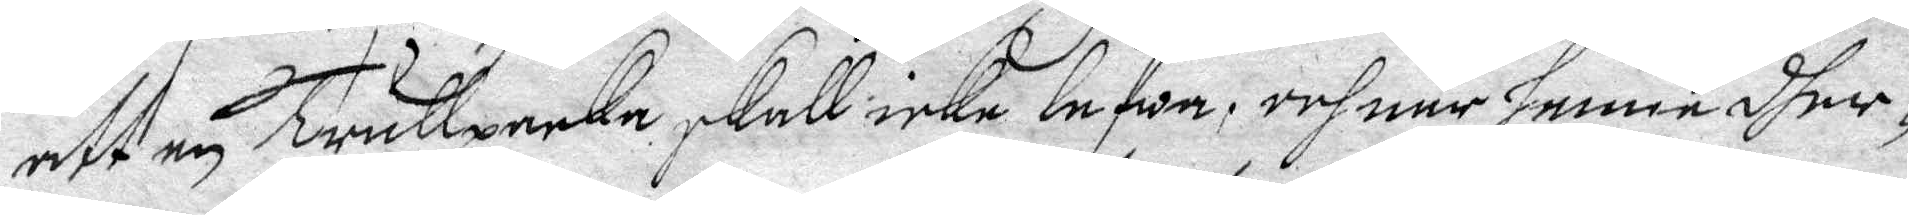att en Trullpacka, skall icke lefwa, och när henne dher
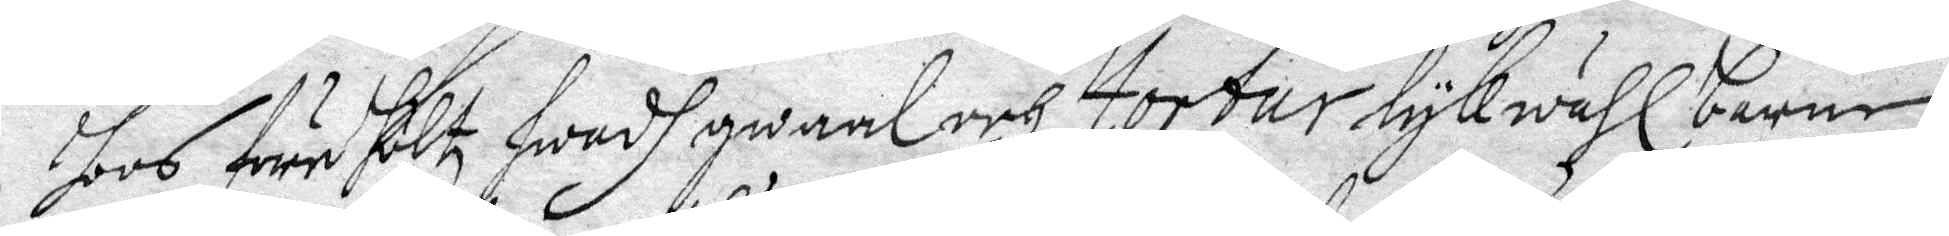hoos före höltz hwadh gwaal och tortur Lykwähl barnen
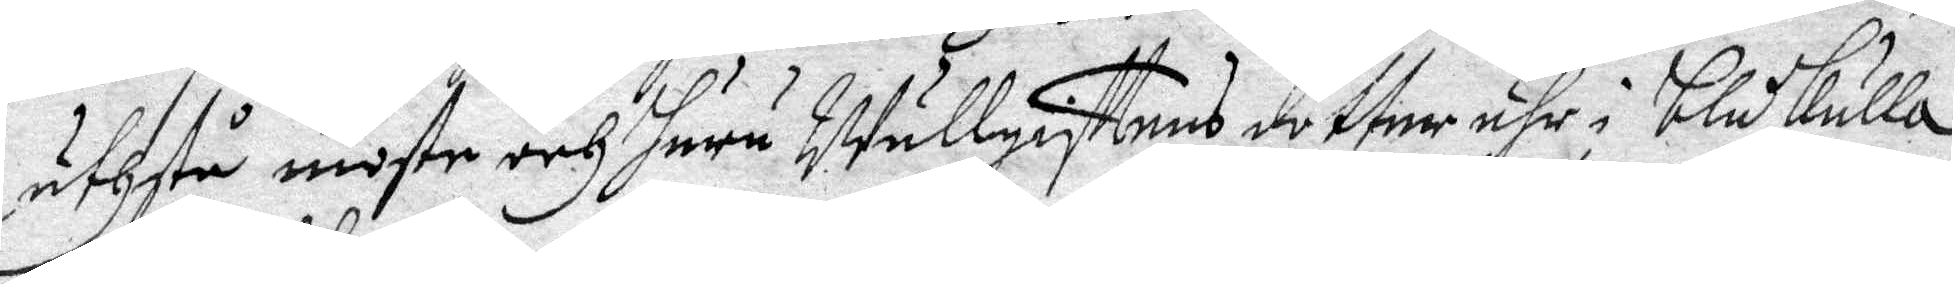uthstå moste och huru Wällgisttnes dotter ähr i blåkulla
